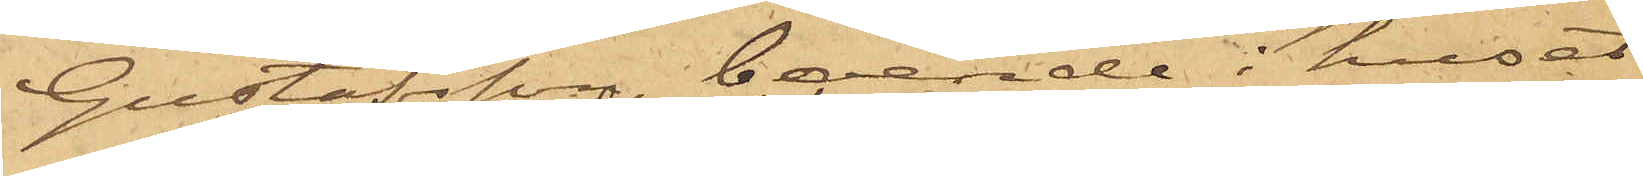Gustafsson, boende i huset
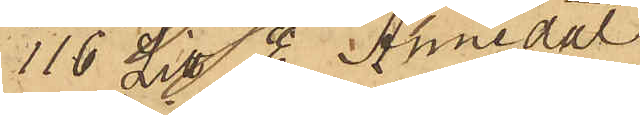116 Litt E  Annedal
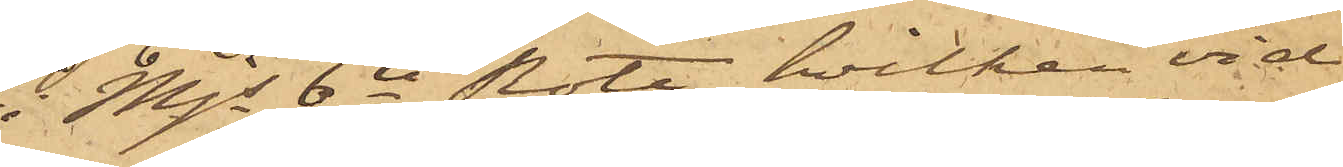i Mjs 6te Rote, hvilken vid
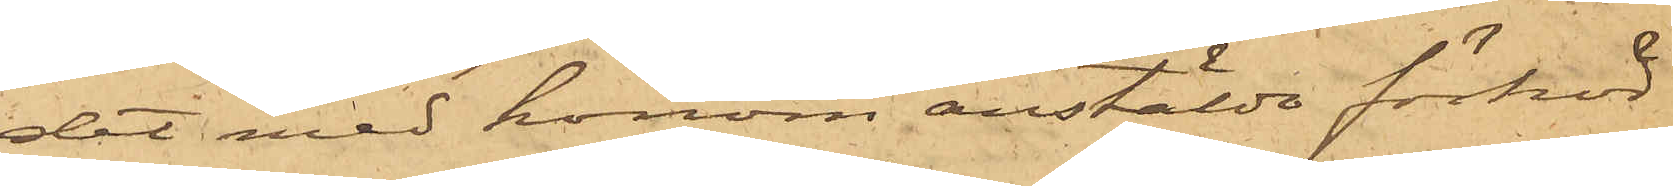det med honom anstälde förhör
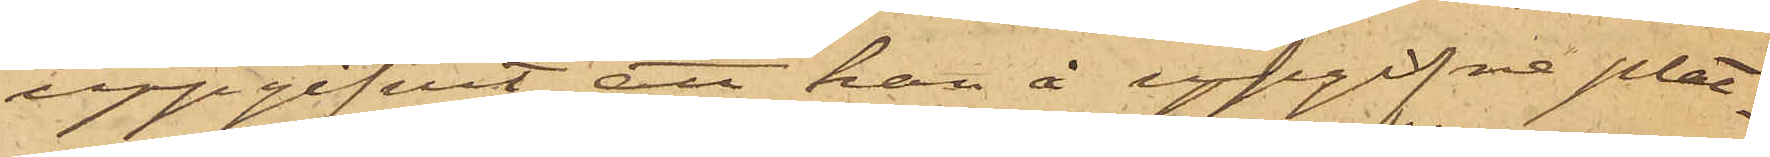uppgifvit, att han å uppgifne plat¬
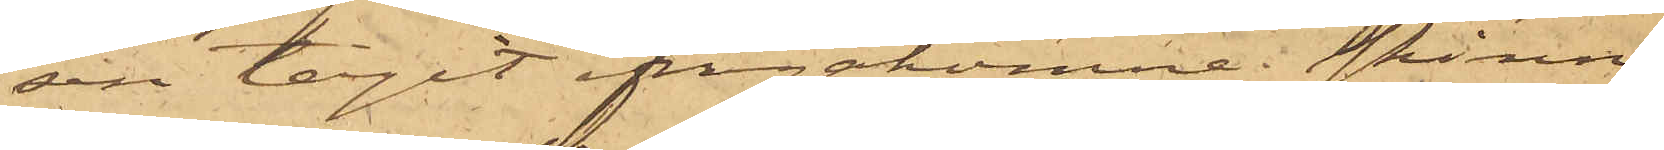sen tagit ifrågakomne skinn.
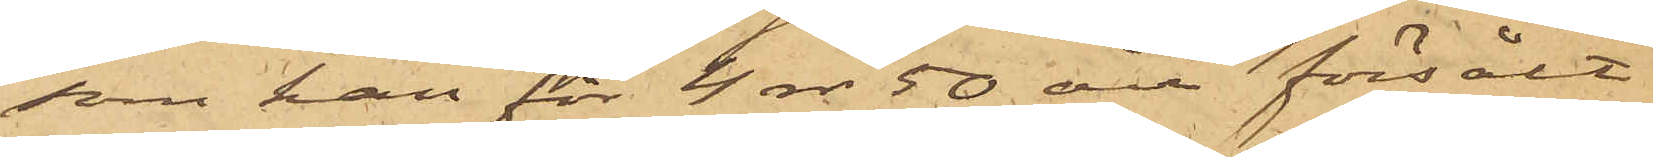som han för 4 rdr 50 öre försålt
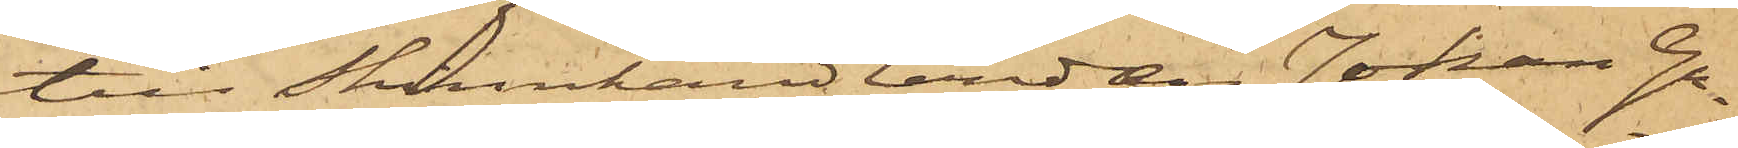till Skinnhandlanden Johan Gu¬
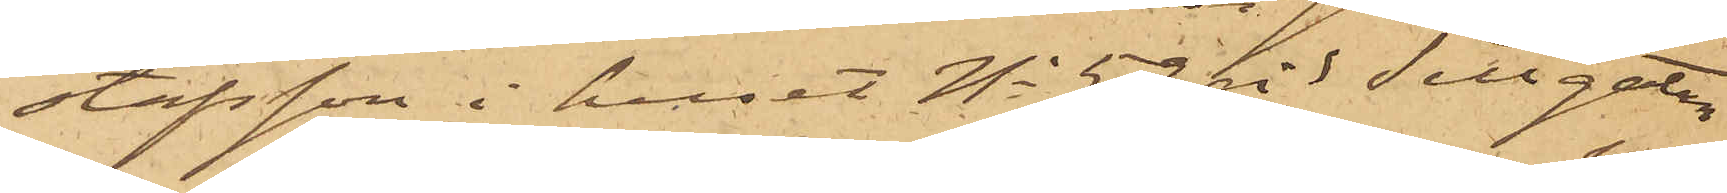stafsson i huset No 59 vid Sillgatan
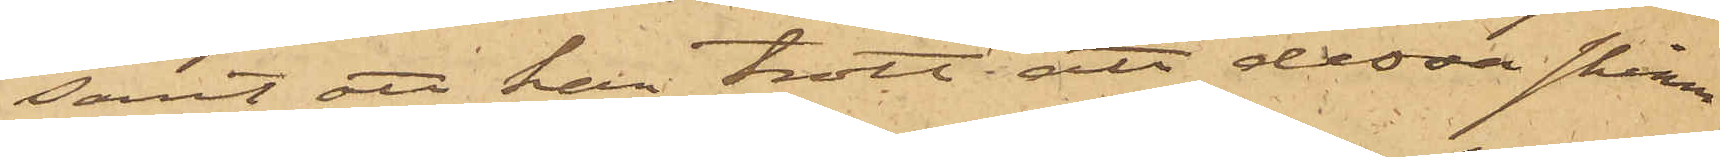samt att han trott att dessa skinn
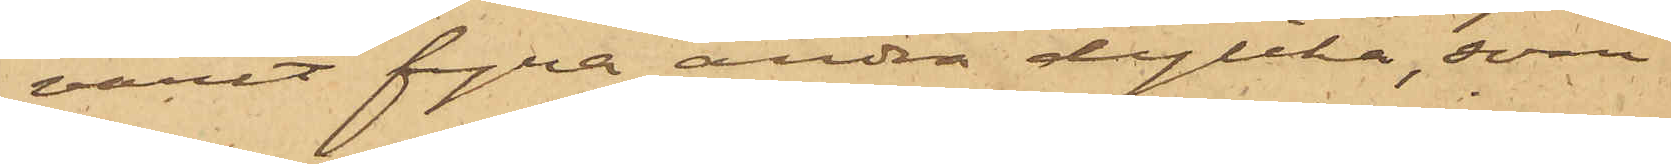varit fyra andra dyllka, som
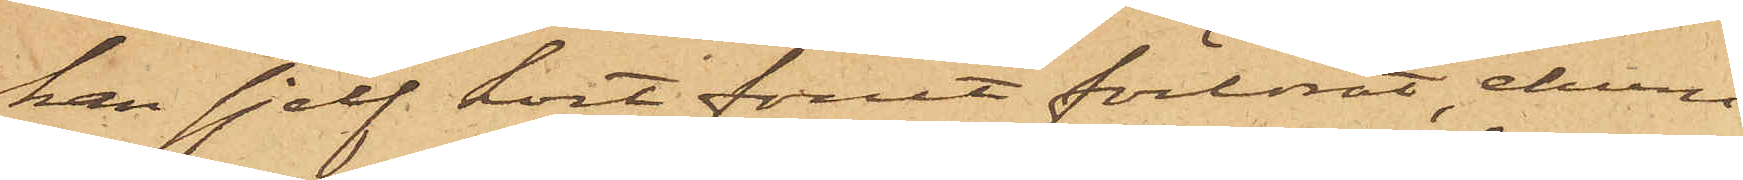han sjelf kort förut förlorat, ehuru
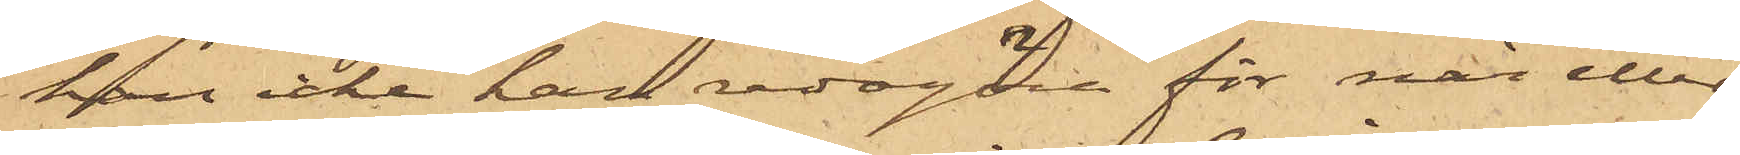han icke kan redagöra för när eller
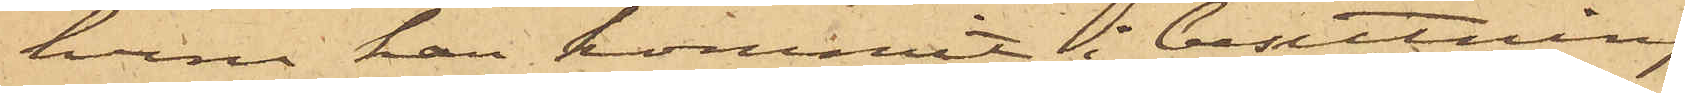huru han kommit i besittning
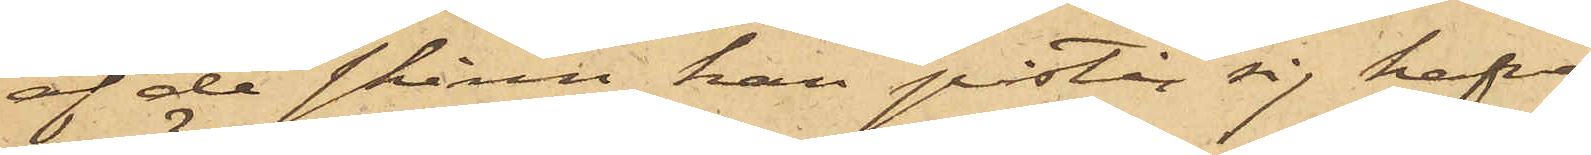af de skinn han påstår sig hafva
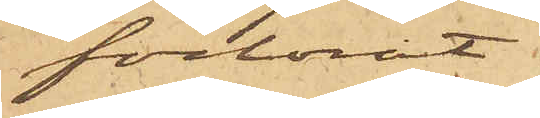förlorat.
